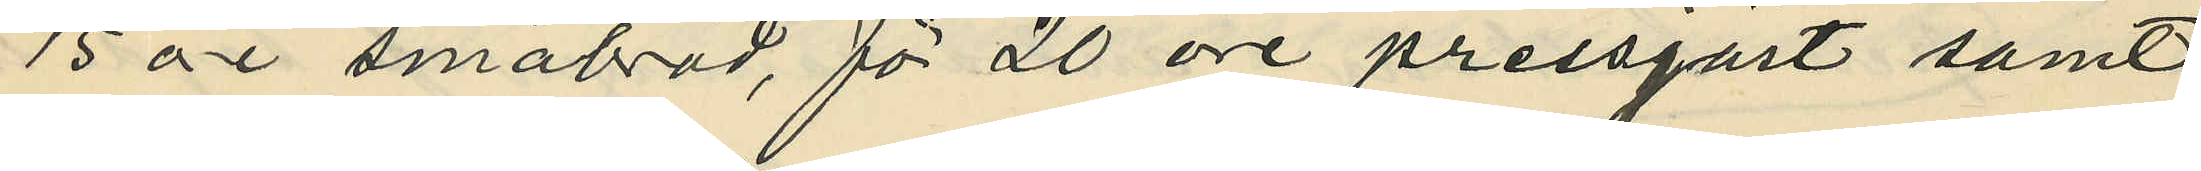15 öe småbröd, för 20 öre pressgäst samt
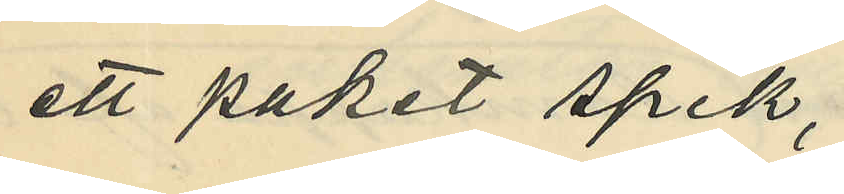ett paket spik,
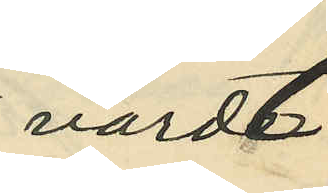värdt
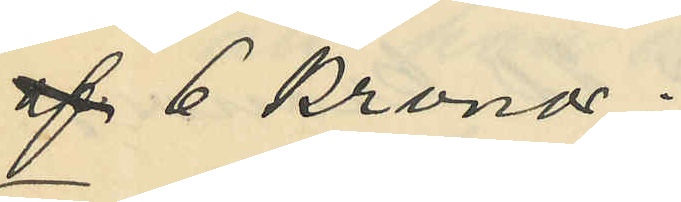af 6 kronor.
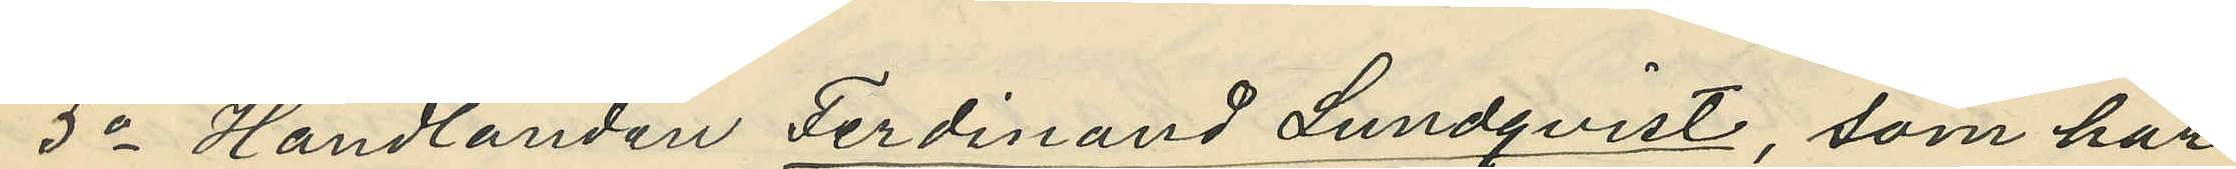5o Handlanden Ferdinand Lundqvist, som har
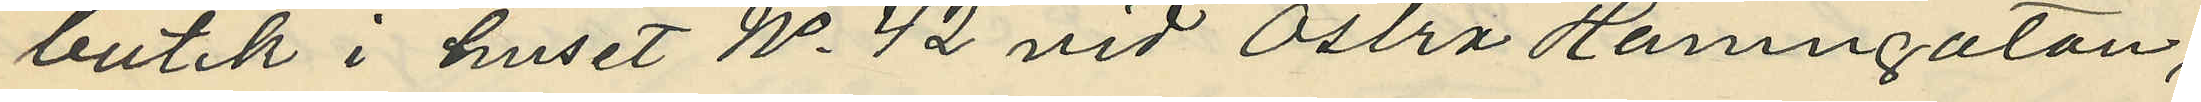butik i huset No 42 vid Östra Hamngatan,
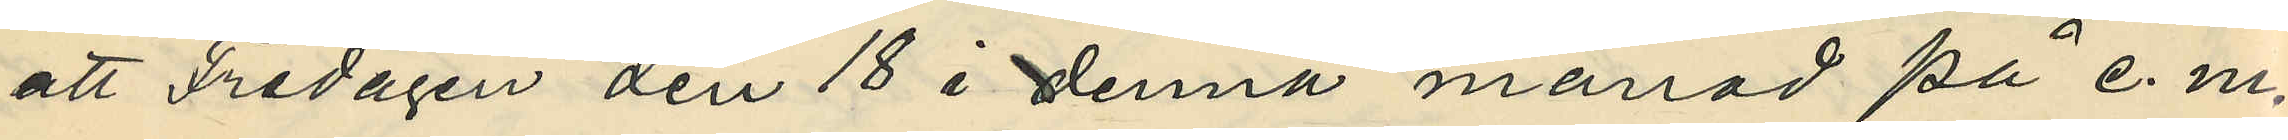att Fredagen den 18 i denna månad på e. m.
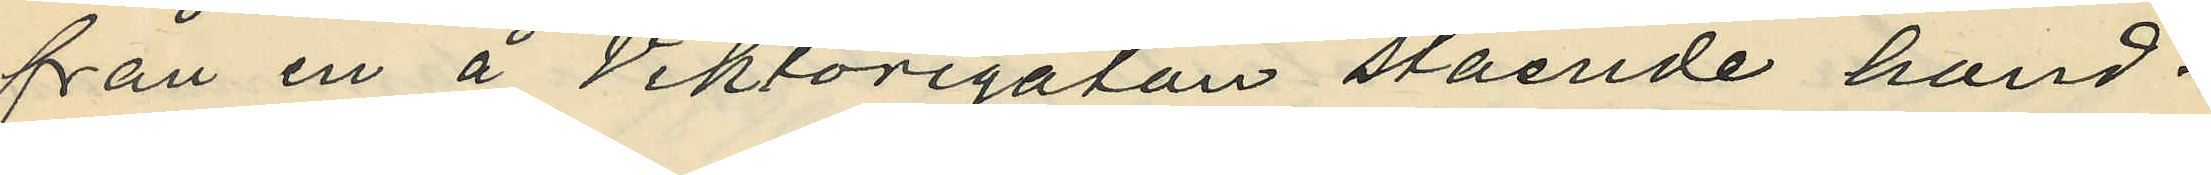från en å Viktoriagatan stående hand¬
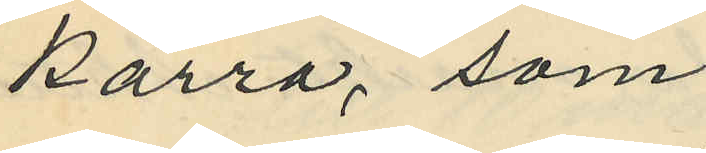kärra, som
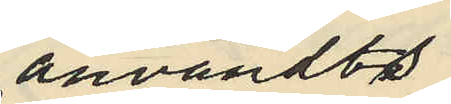användta
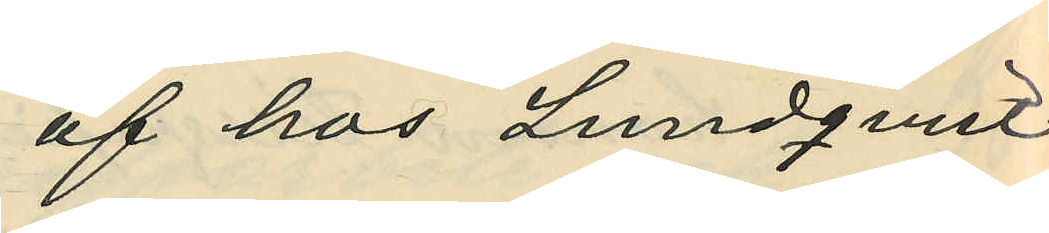af hos Lundquist
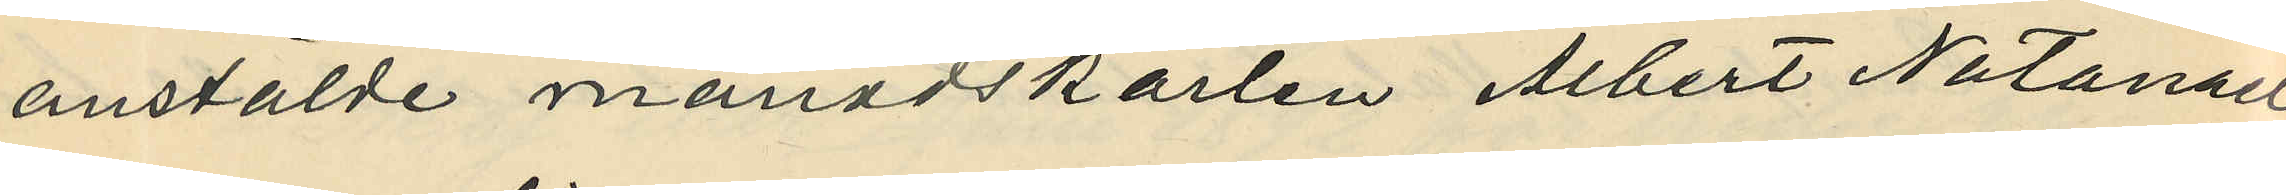anstälde månadskarlen Albert Natanan
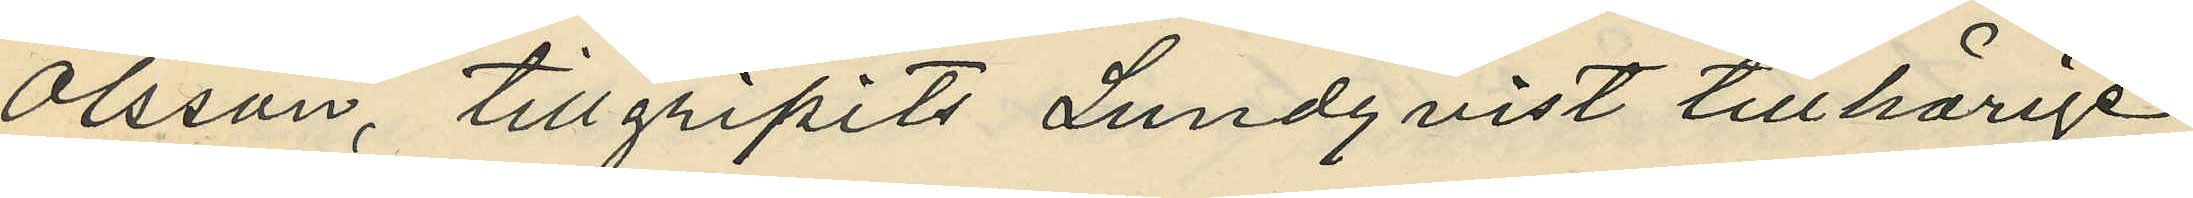Olsson, tillgripits Lundqvist tillhörige
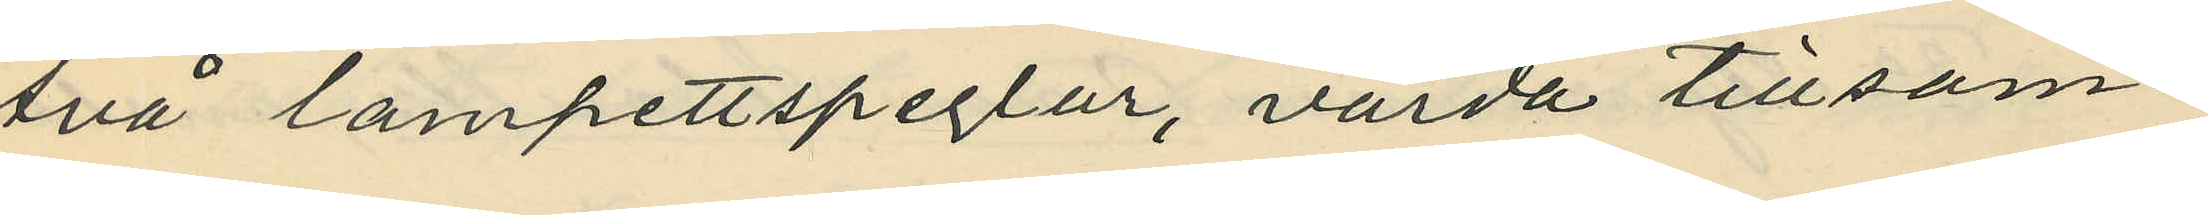två lampettspeglar, värda tillsam¬
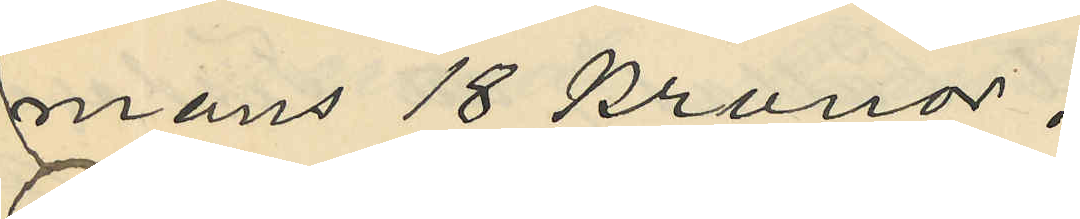mans 18 kronor.
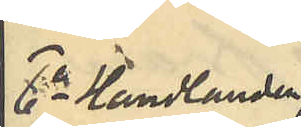6o Handlanden
